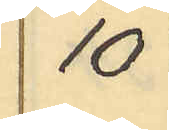10
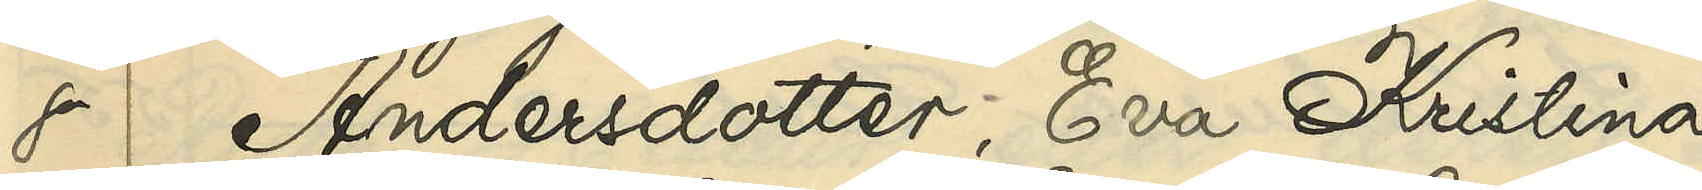8 Andersdotter, Eva Kristina
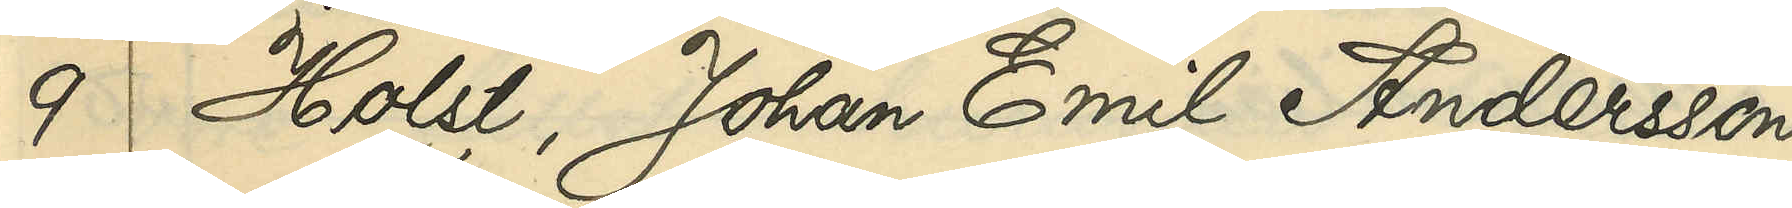9 Holst, Johan Emil Andersson
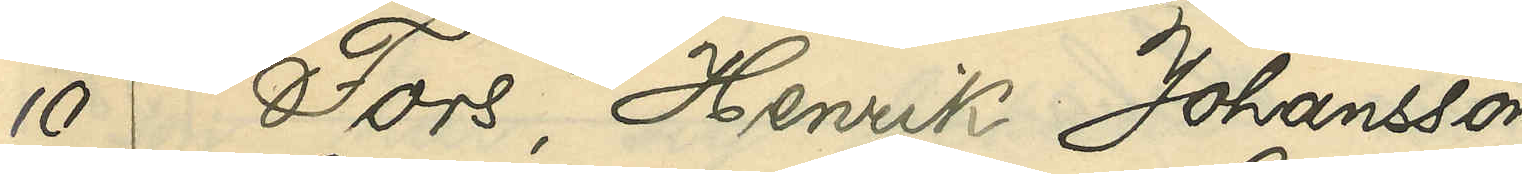10 Fors, Henrik Johansson
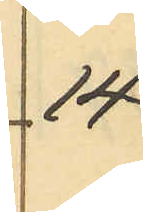14
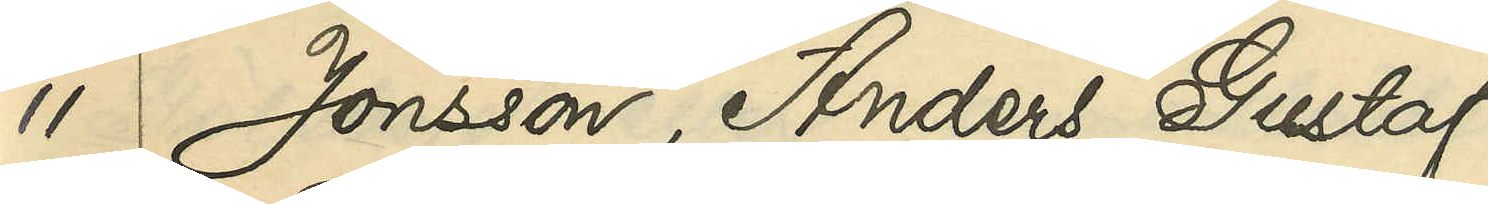11 Jonsson, Anders Gustaf
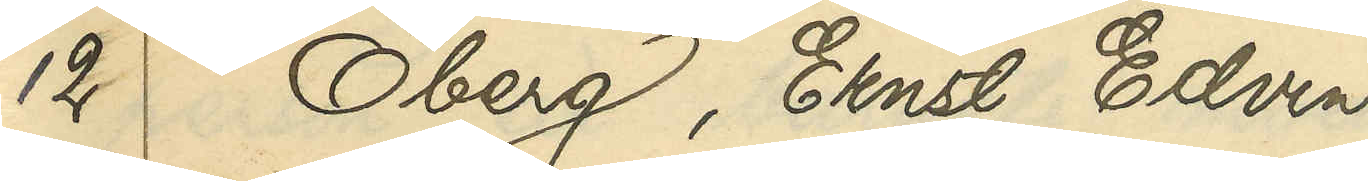12 Öberg, Ernst Edvin
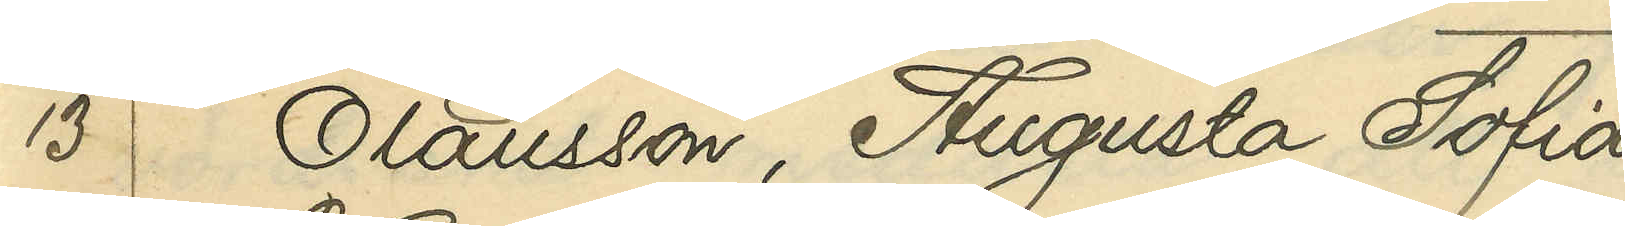13 Olausson, Augusta Sofia
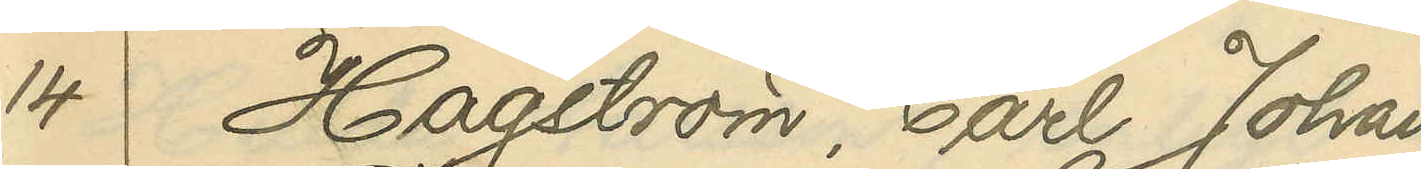14 Hagström, Carl Johan
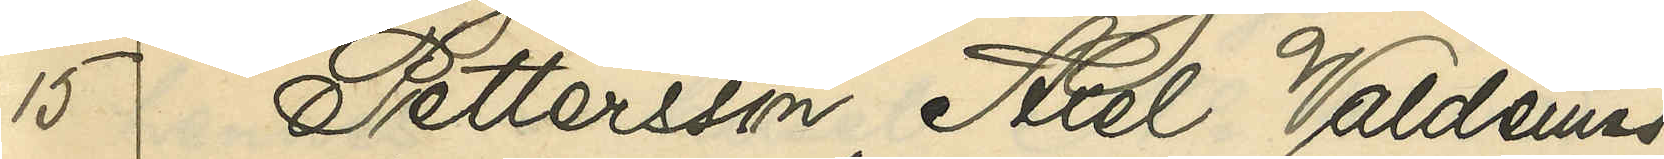15 Pettersson, Axel Valdemar
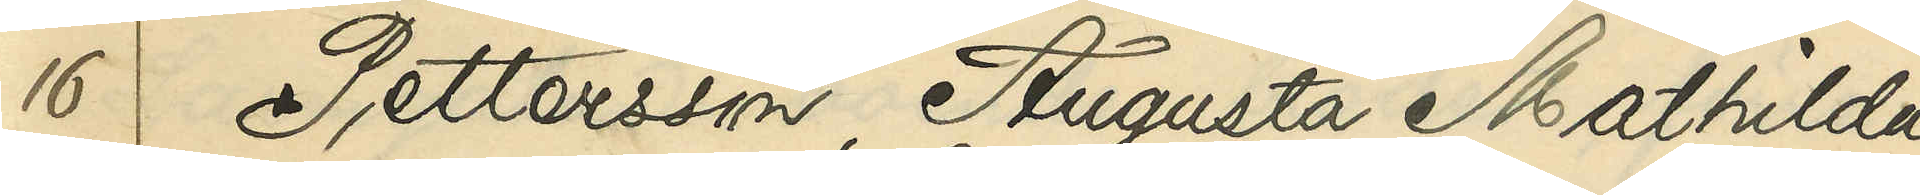16 Pettersson, Augusta Mathilda
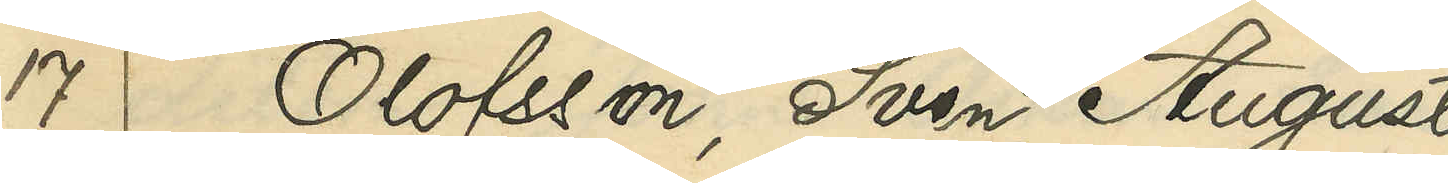17 Olofsson, Sven August
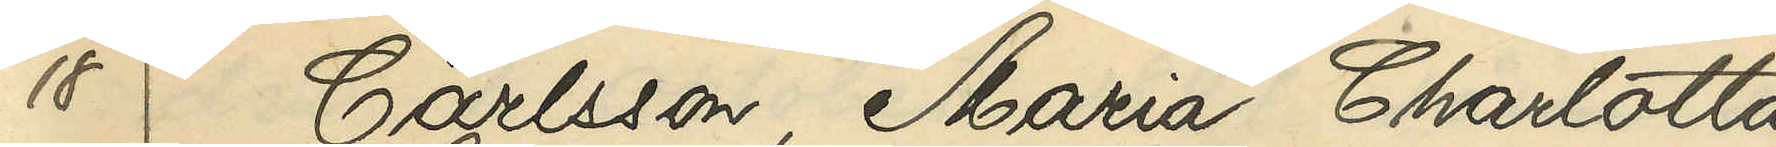18 Carlsson, Maria Charlotta
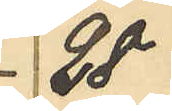28
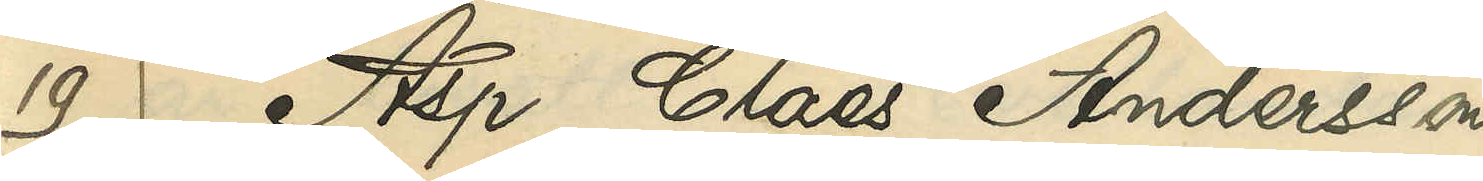19 Asp, Claes Andersson
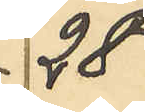28
